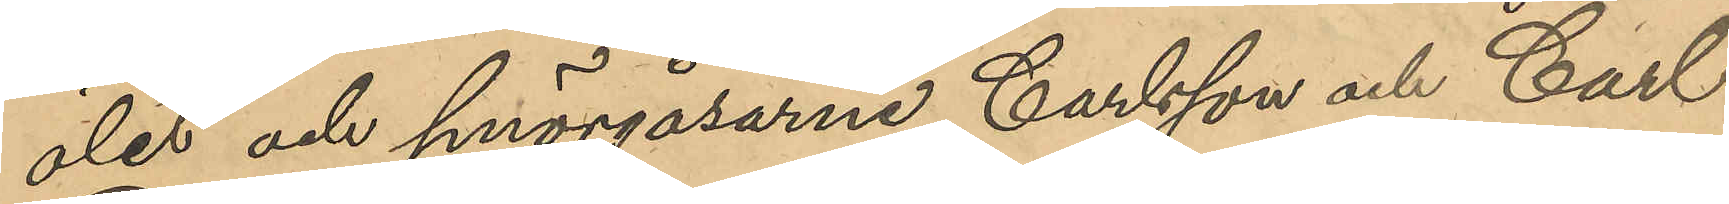ölet och smörgåsarne, Carlsson och Carl
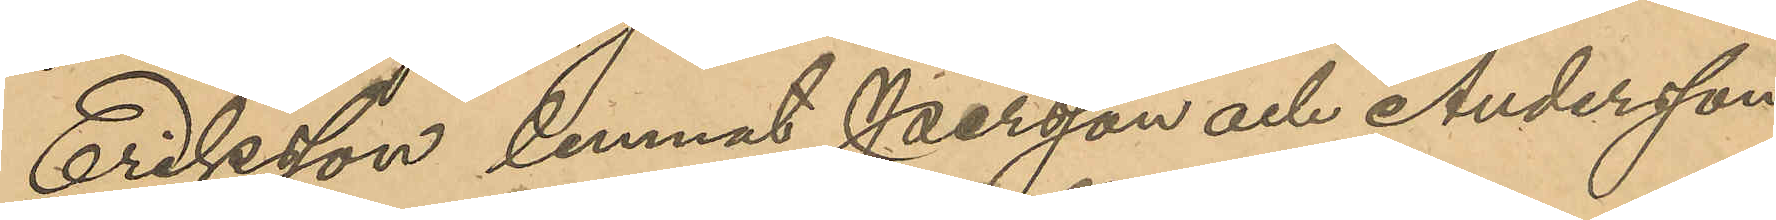Eriksson lemnat Persson och Andersson
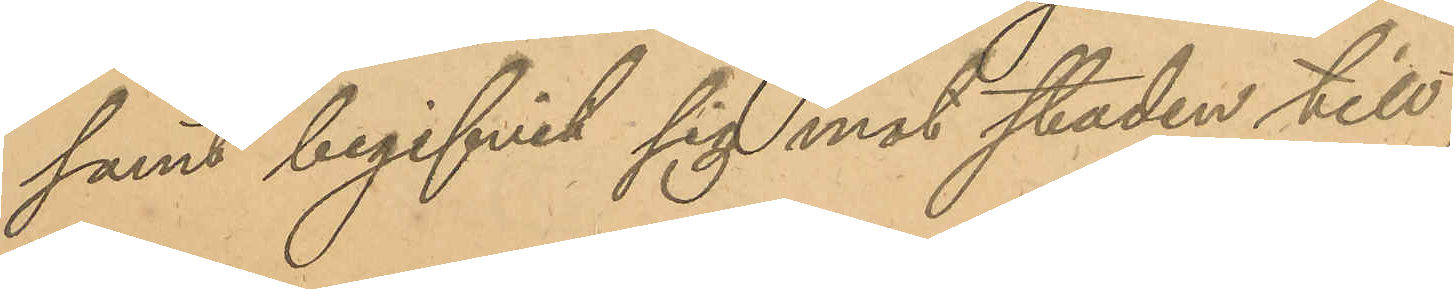samt begifvit sig mot staden till;
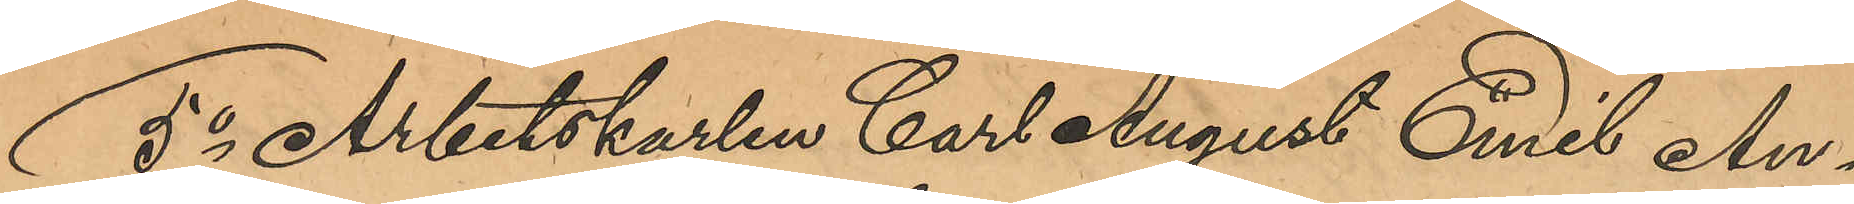5o Arbetskarlen Carl August Emil An¬
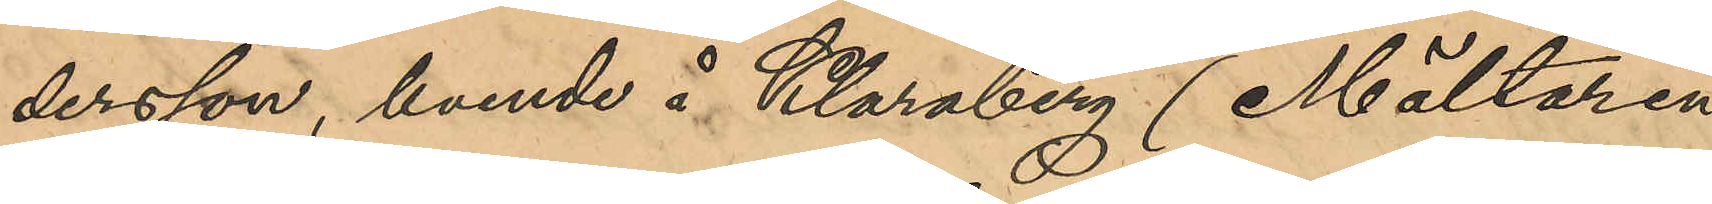dersson, boende å Klaraberg (Mältaren 
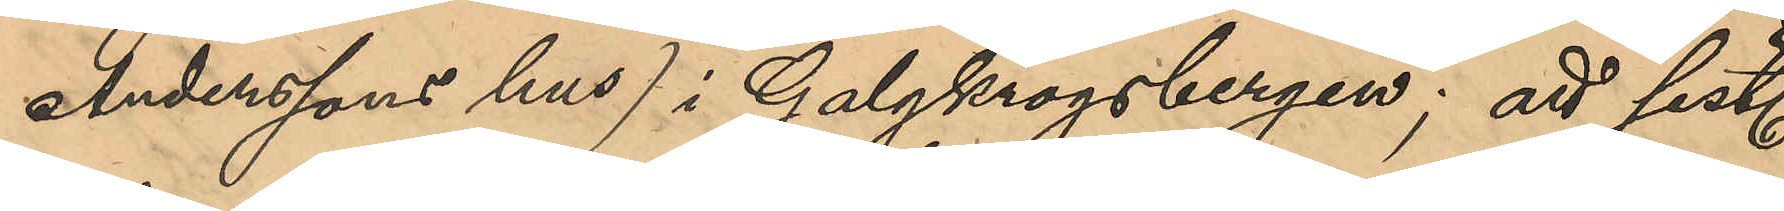Anderssons hus) i Galgkrogsbergen; att sist.
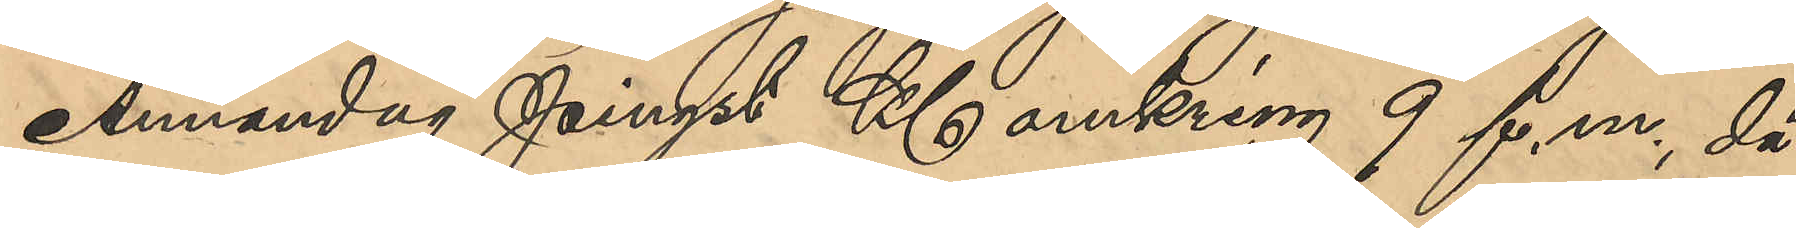Annandag Pingst Kl omkring 9 f. m, då
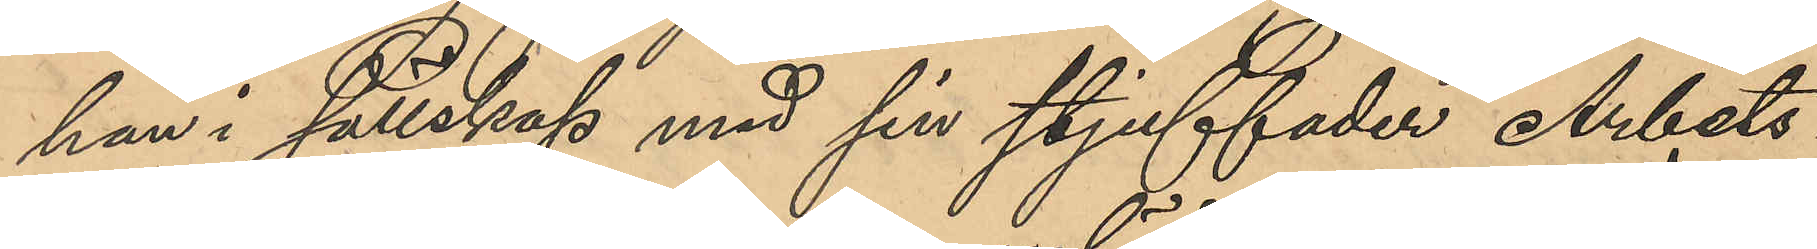han i sällskap med sin stjuffader Arbets¬
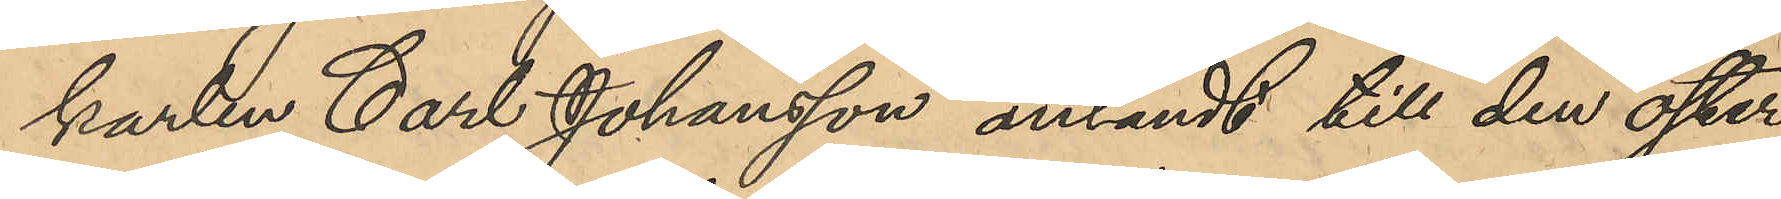karlen Carl Johansson anländt till den öster
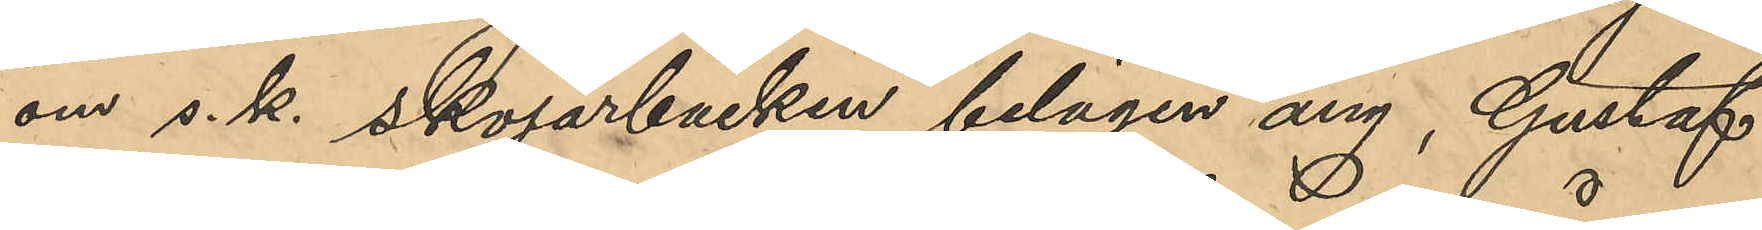om s.k. Skojarbacken belägen äng, Gustaf
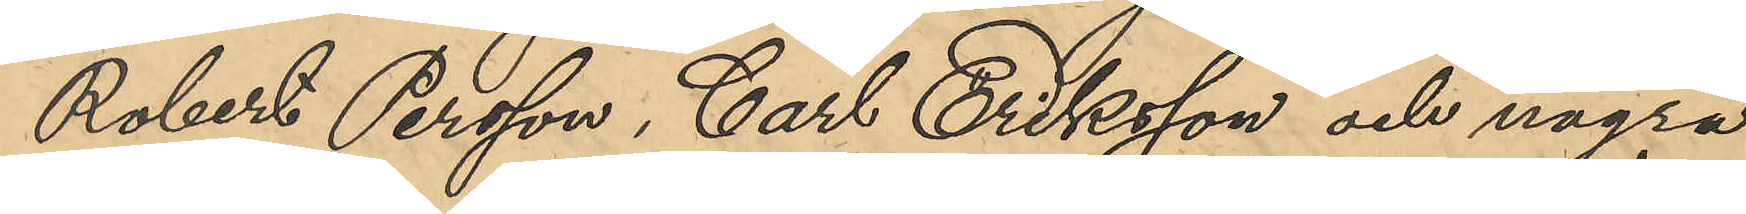Robert Persson, Carl Eriksson och några
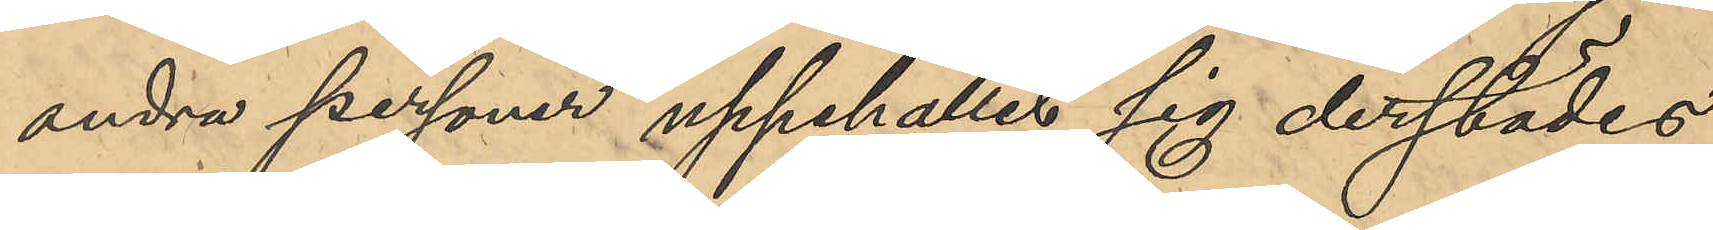andra personer uppehållit sig derstädes
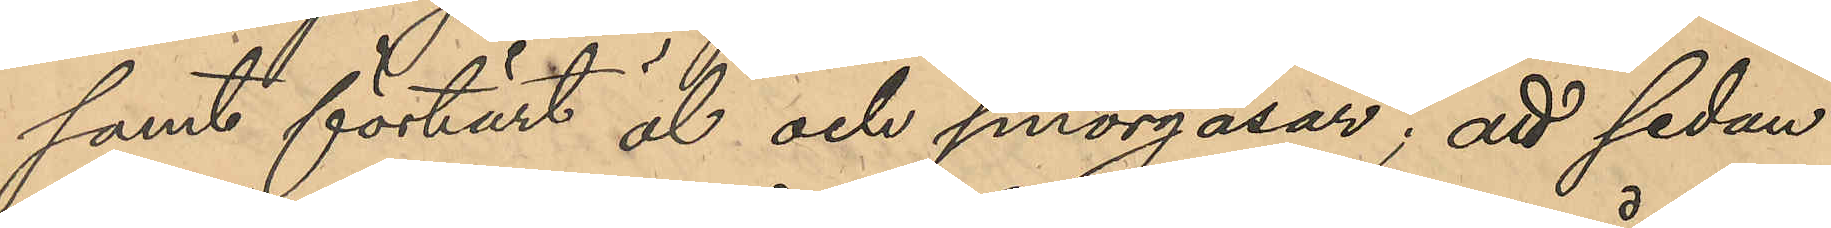samt förtärt öl och smörgåsar; att sedan
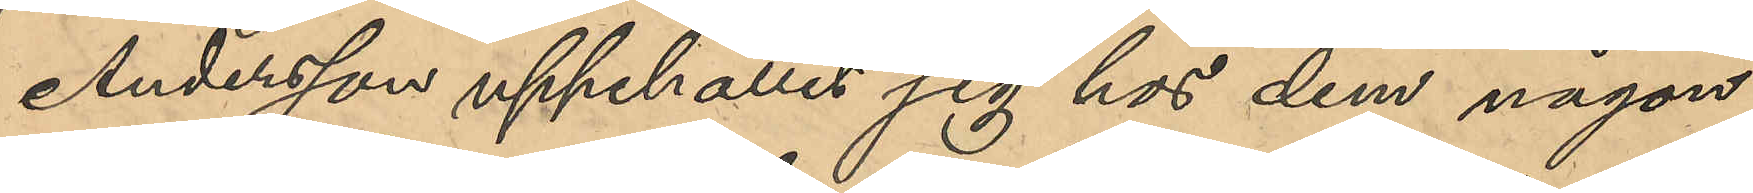Andersson uppehållit sig hos dem någon
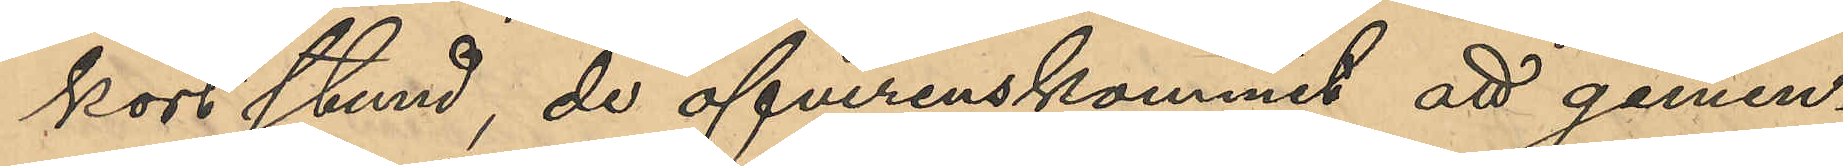kort stund, de öfverenskommit att gemen¬
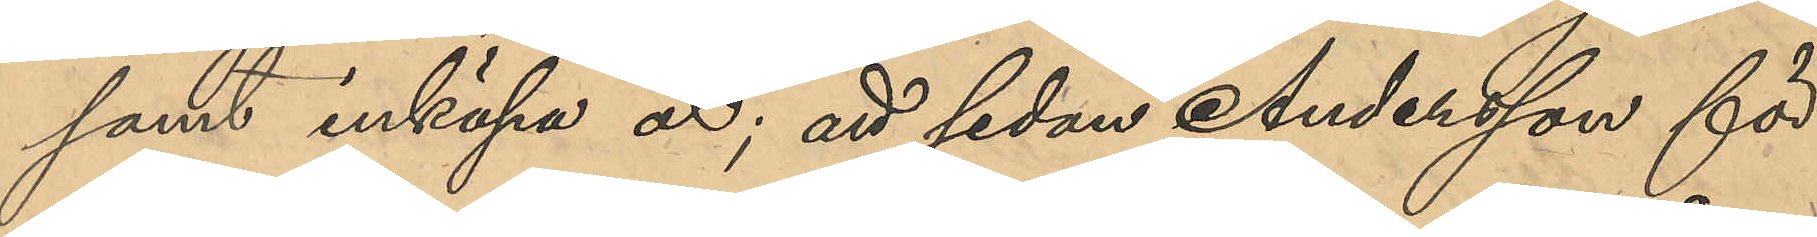samt inköpa öl; att sedan Andersson för
